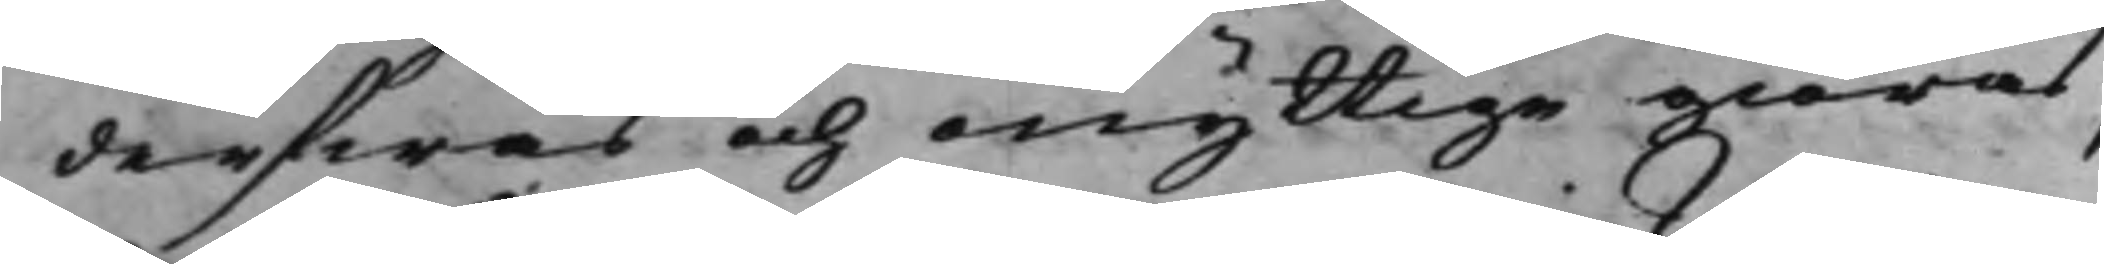derfwas och onyttige giöras,
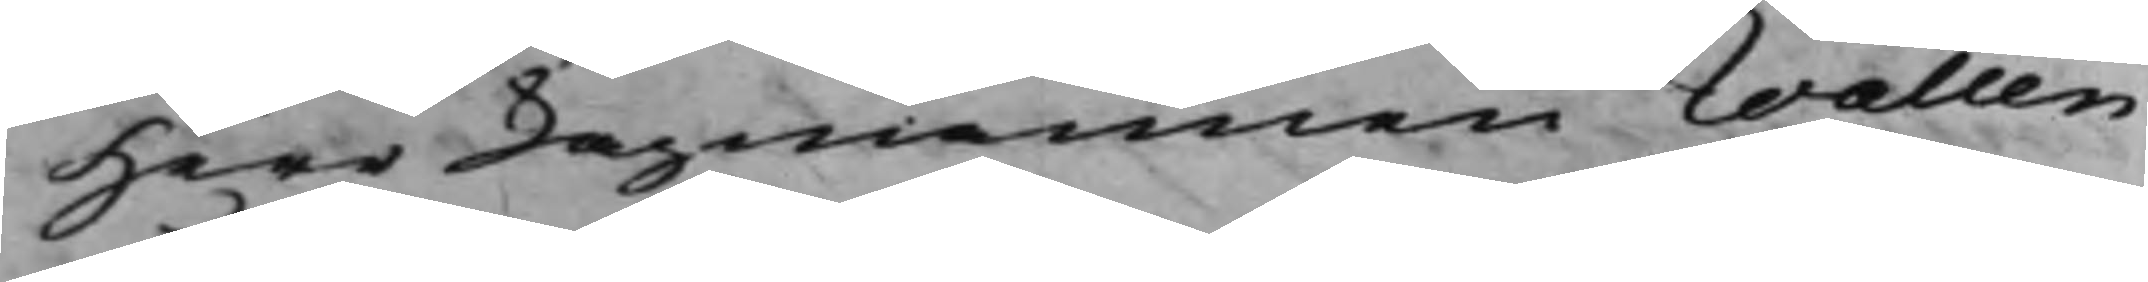Herr Lagmannen Wallen
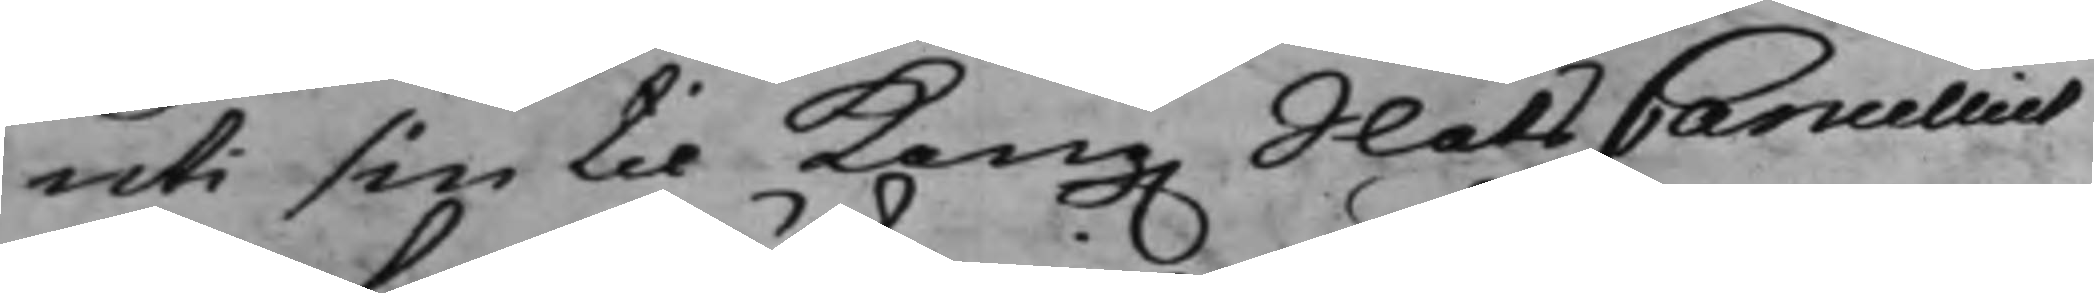uti sin til Kong. SlotsCancelliet
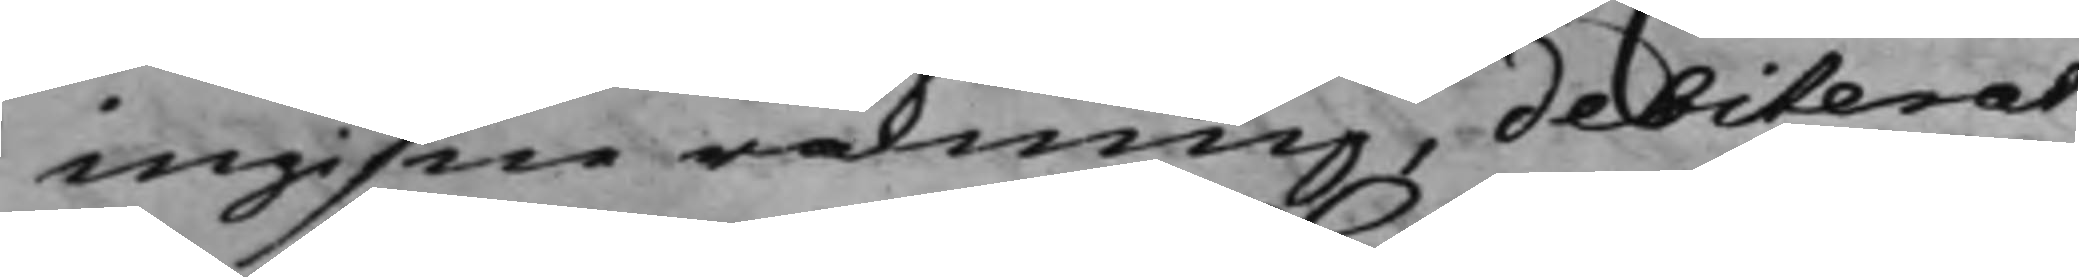ingifne räkning, debiterat
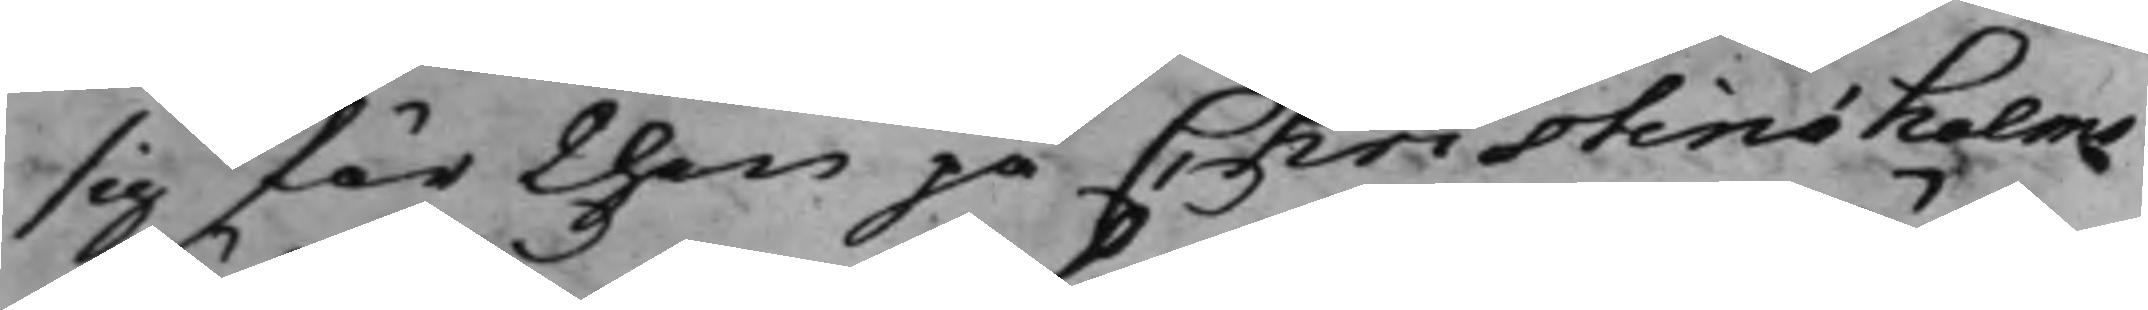sig för then på Christinæholms
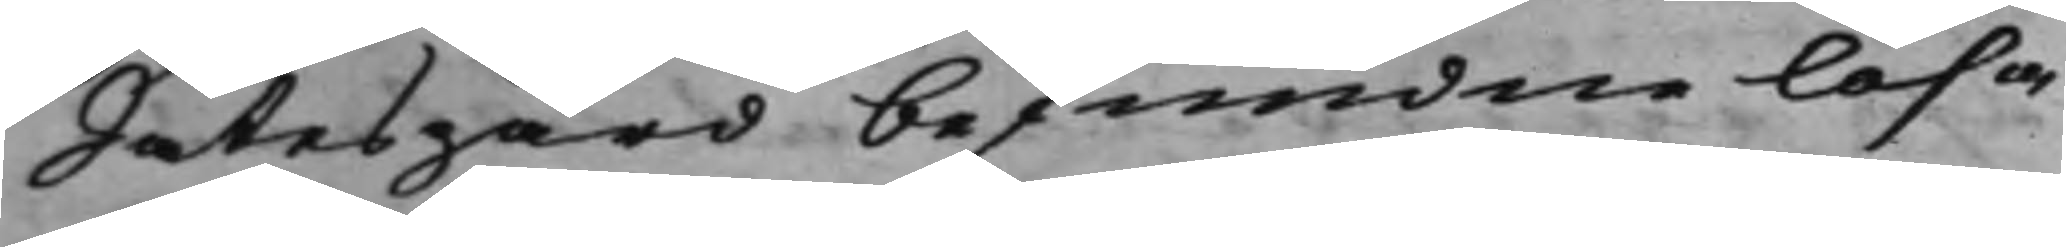Sätesgård befundne lösa
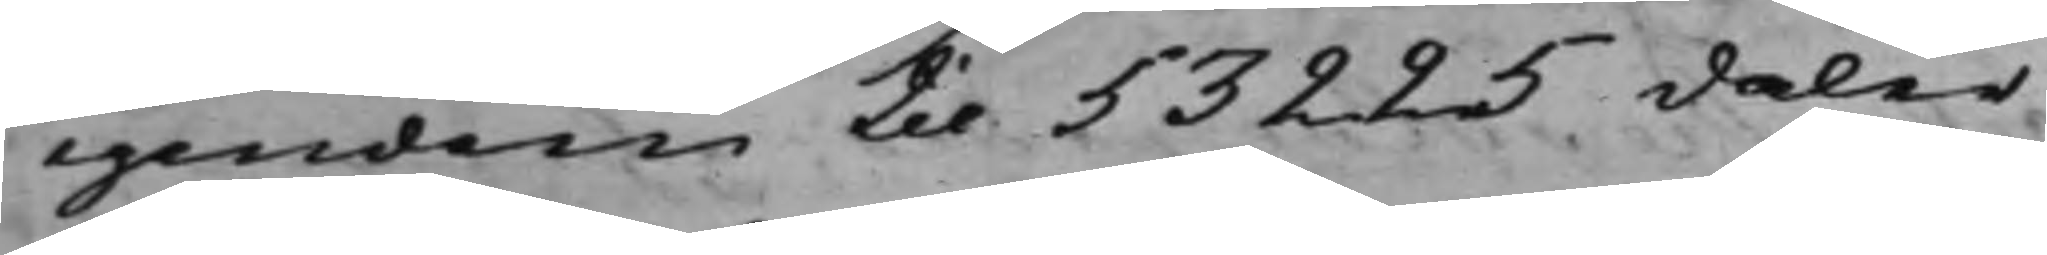egendom till 53225 daler
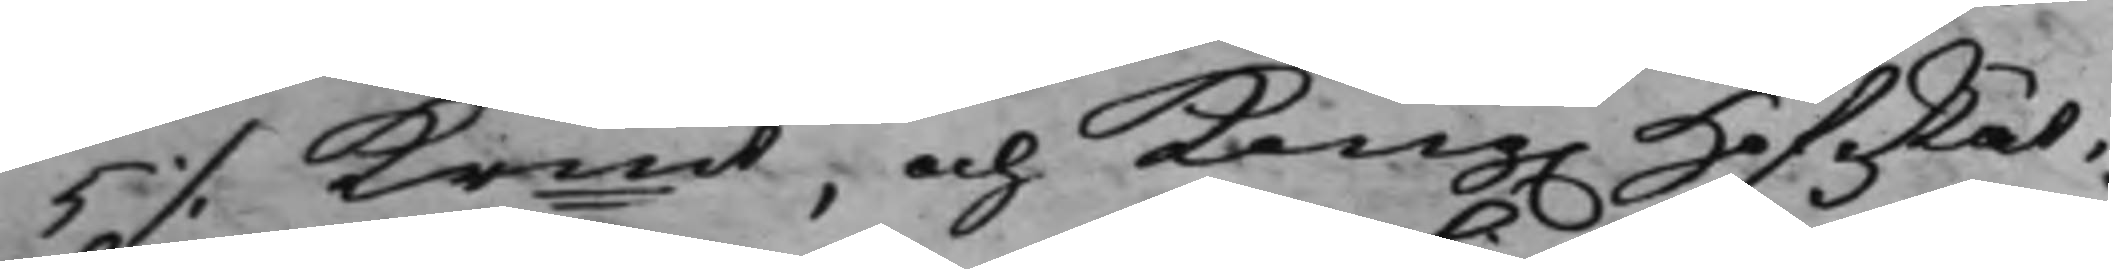5 ./.Krmt, och Kong. HofRät¬
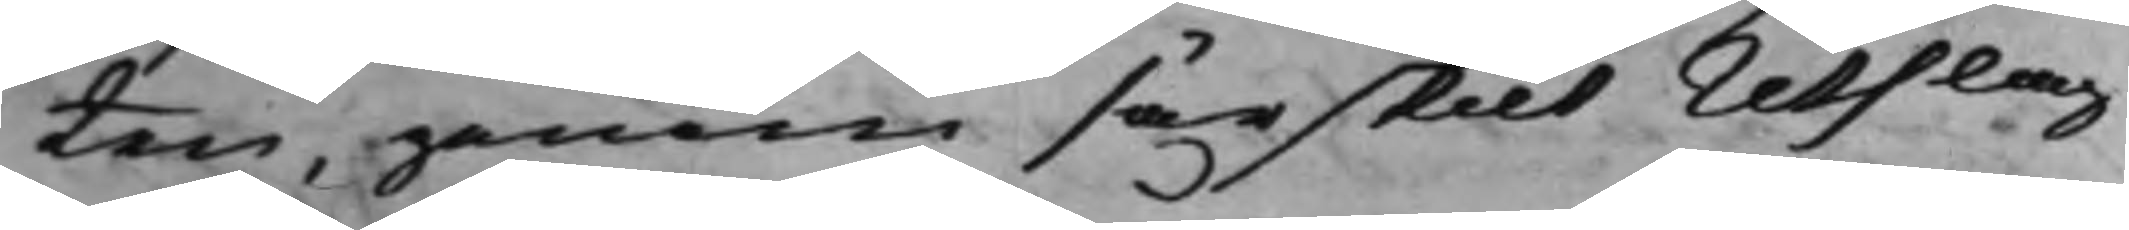ten, genom särskilt Utslag
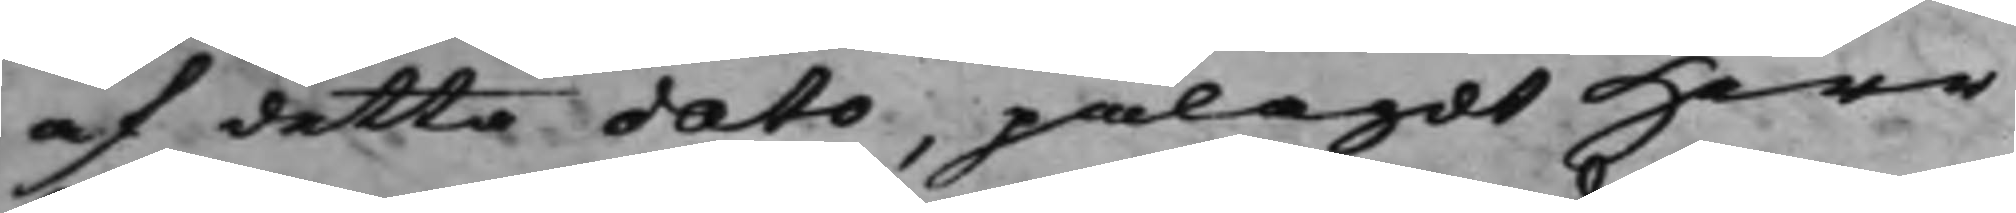af detta dato, pålagdt Herr
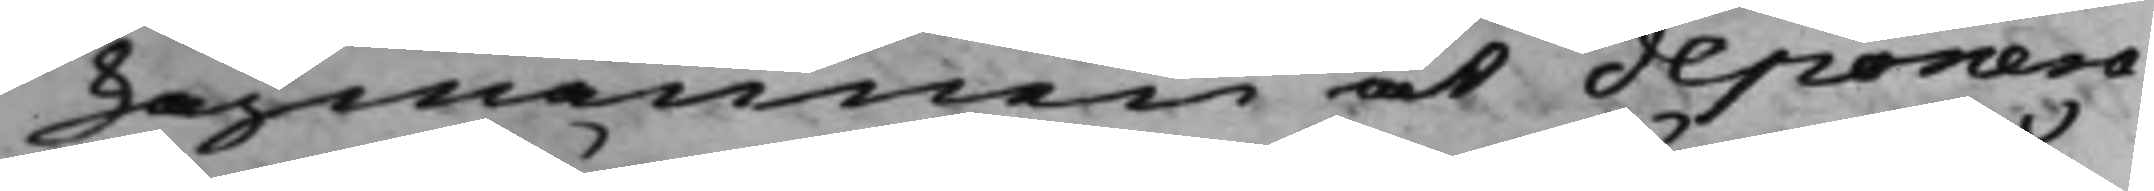Lagmannen at deponera
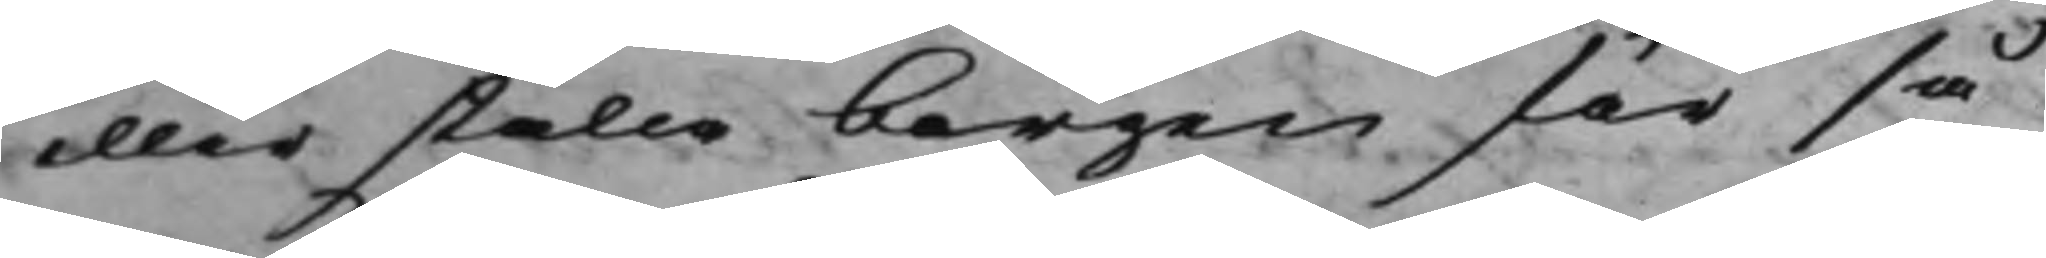eller ställa borgen för så
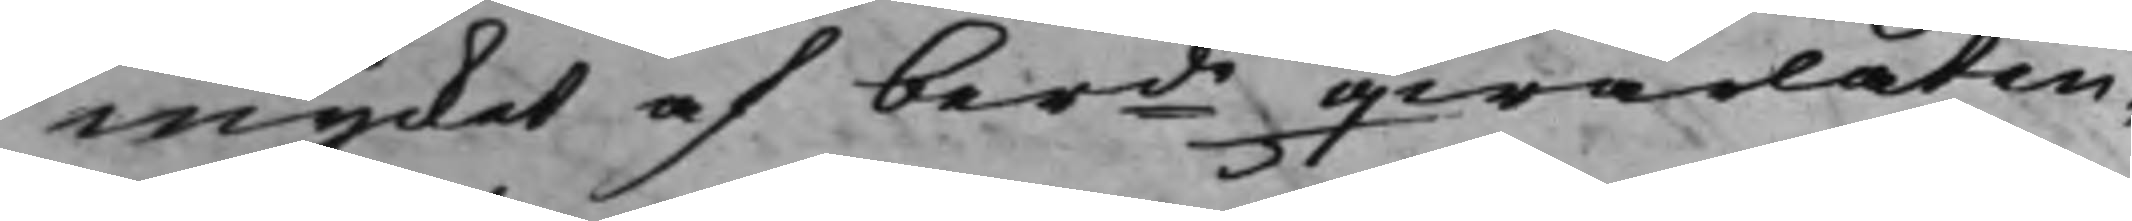mycket af berde qwarlåten¬
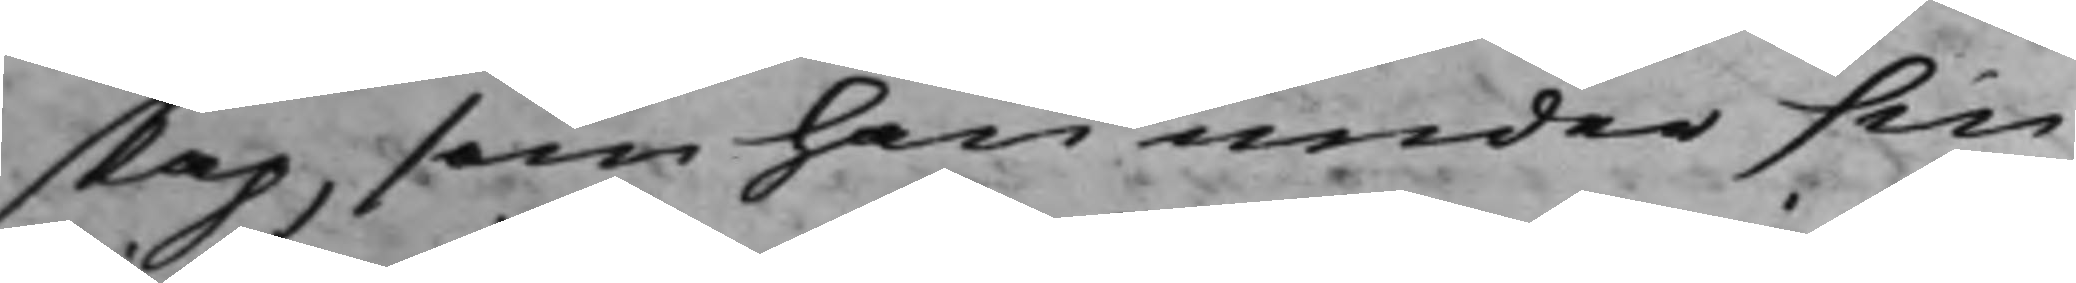skap, som han under sin
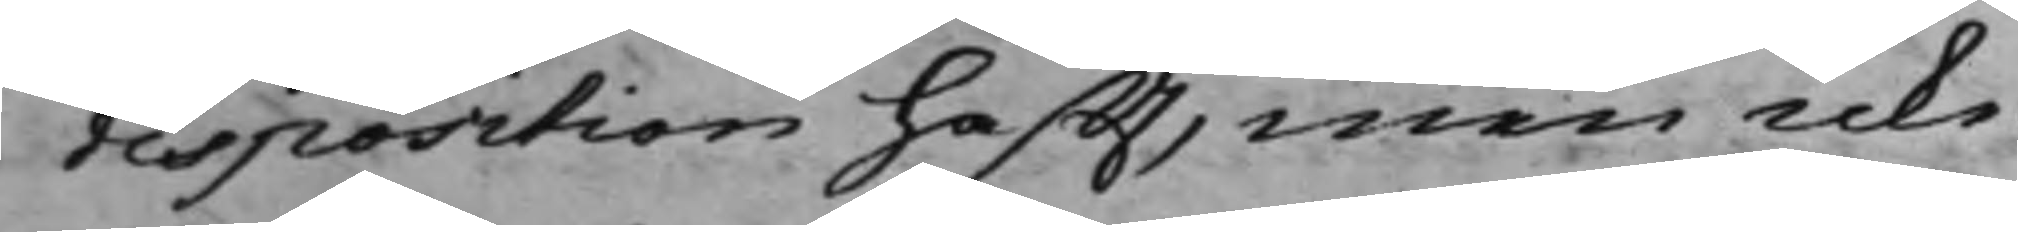disposition hafft, men icke
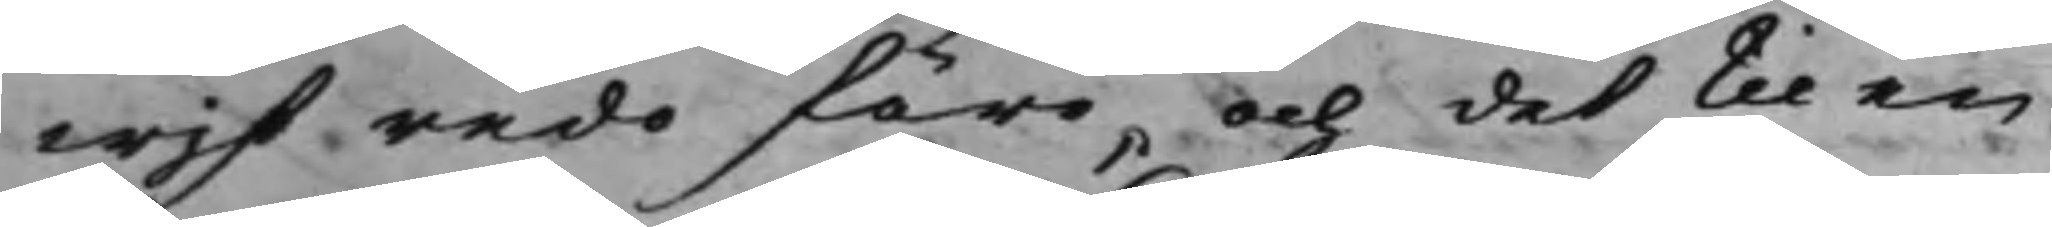wist redo före, och det til en
